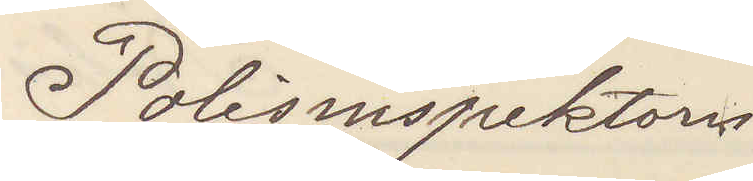Polisinspektorn 
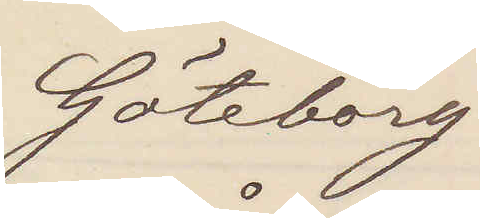Göteborg
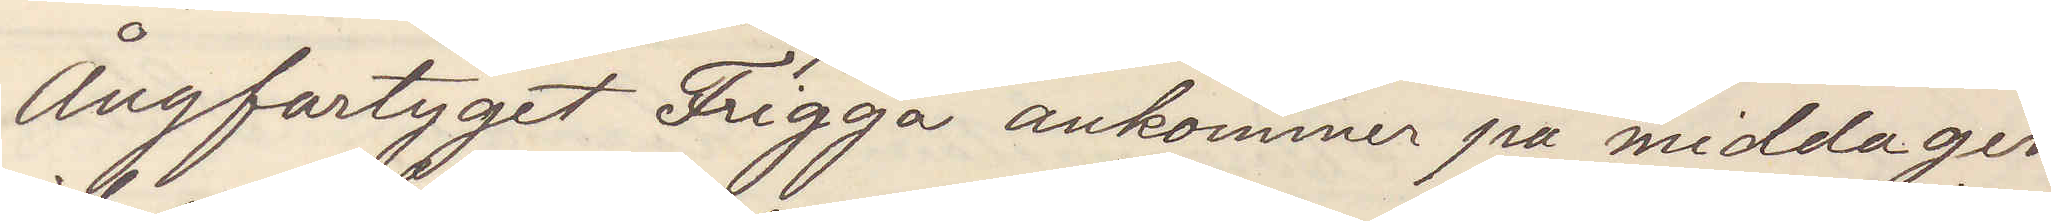Ångfartyget Frigga ankommer på middagen
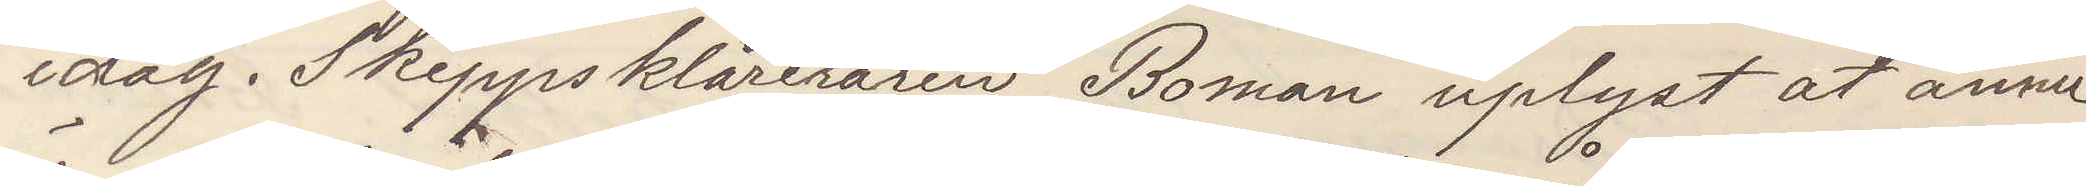idag. Skeppsklareraren Boman uplyst at ännu
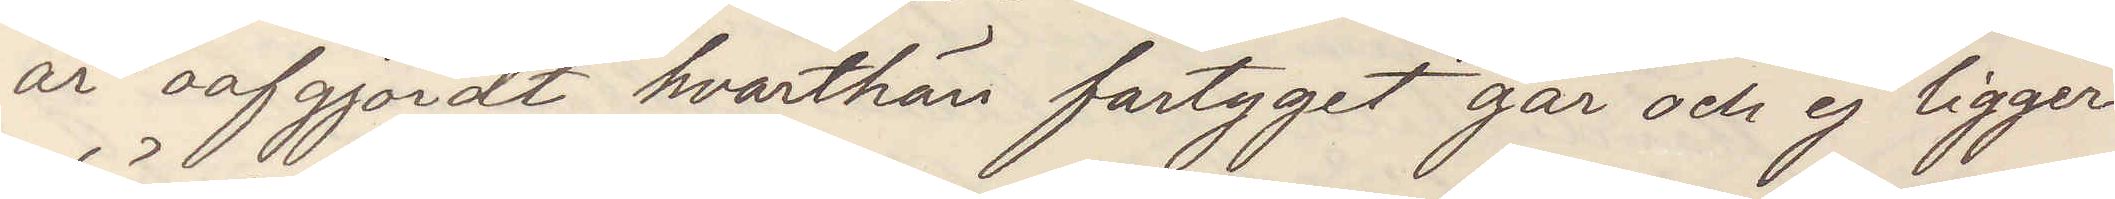är oafgjordt hvarthän fartyget går och ej ligger
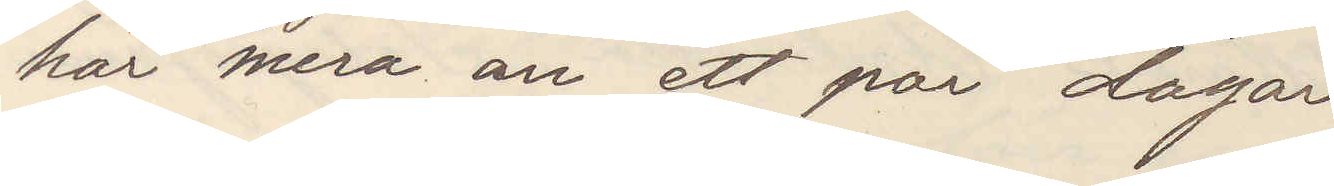här mera än ett par dagar
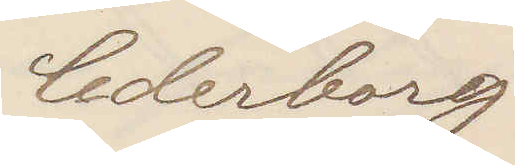Cederborg
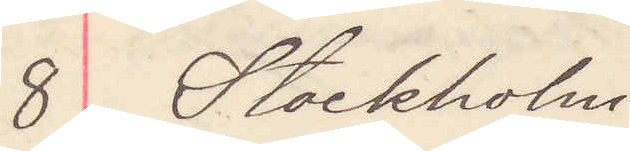8 Stockholm
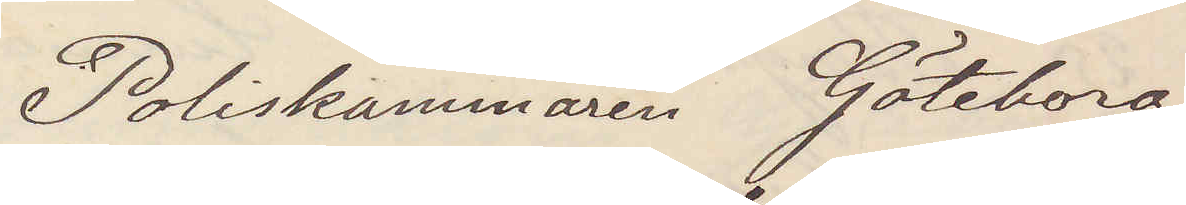Poliskammaren Göteborg
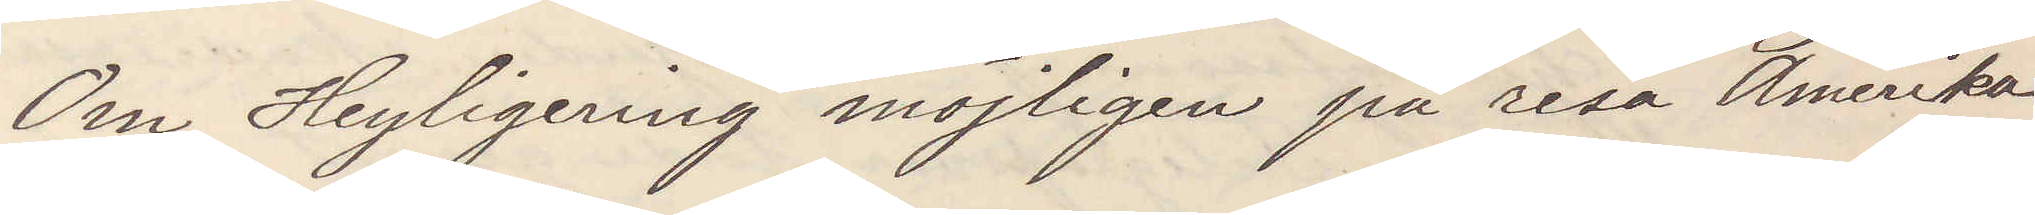Om Heyligering möjligen på resa Amerika
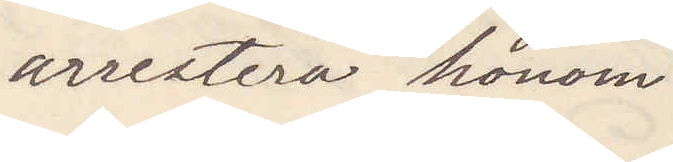arrestera honom
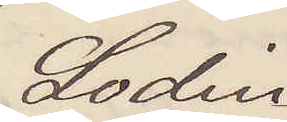Lodin
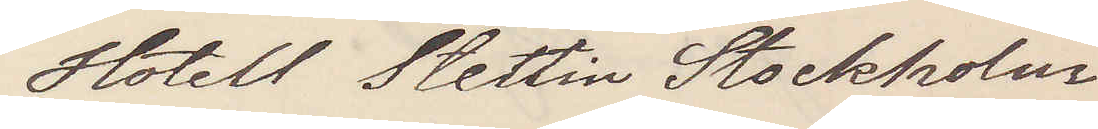Hotell Stettin Stockholm
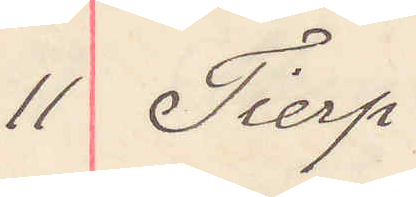11 Tierp
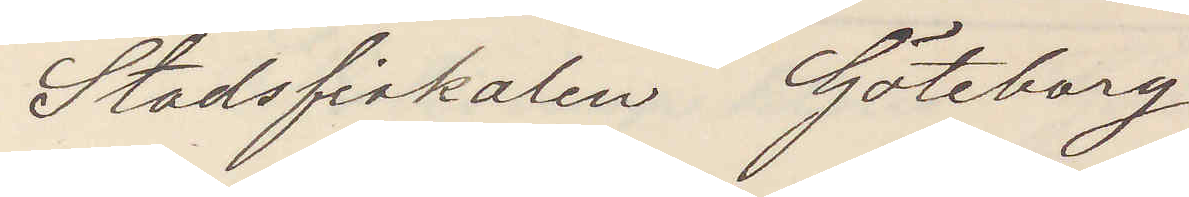Stadsfiskalen Göteborg
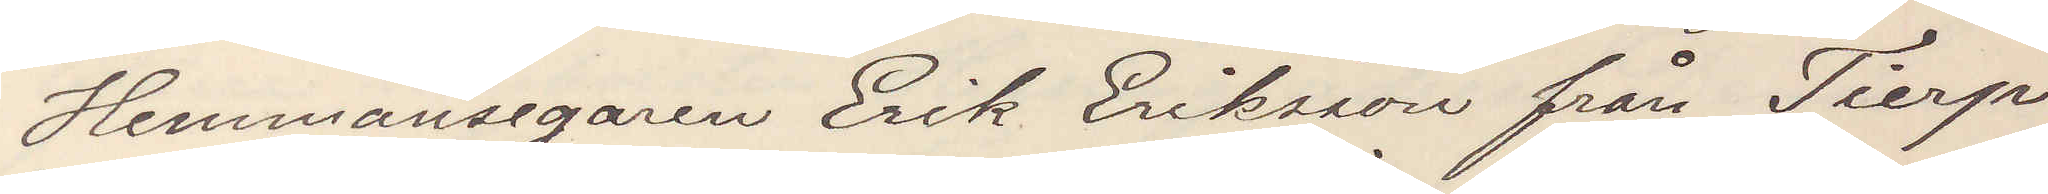Hemmansegaren Erik Eriksson från Tierp
